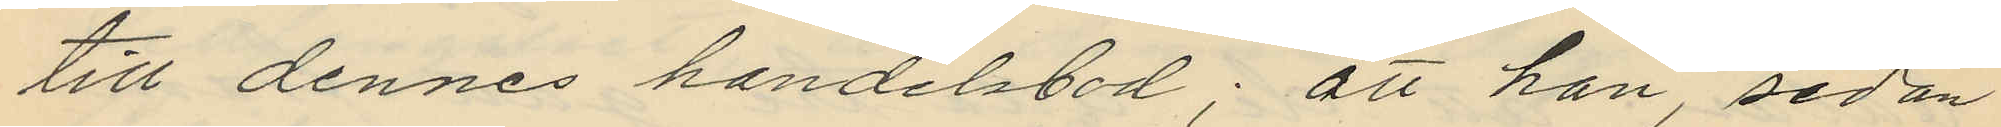till dennes handelsbod; att han, sedan
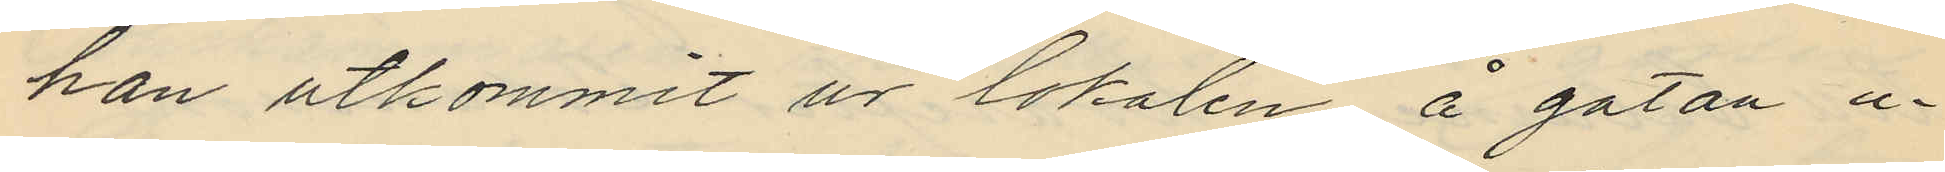han utkommit ur lokalen å gatan u¬
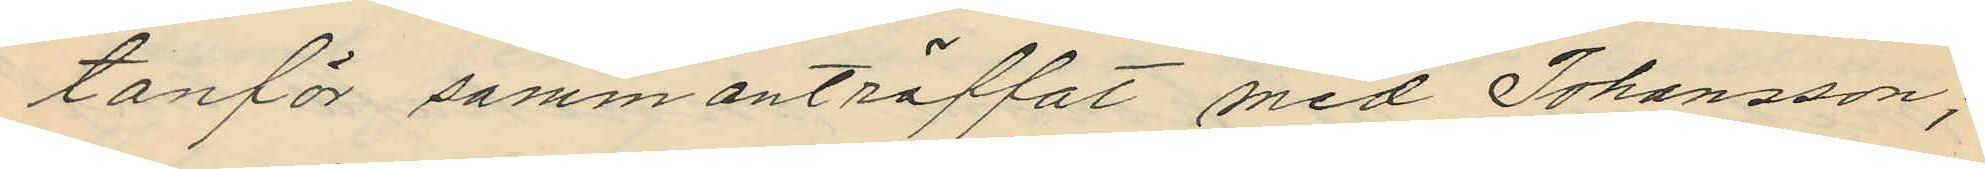tanför sammanträffat med Johansson;
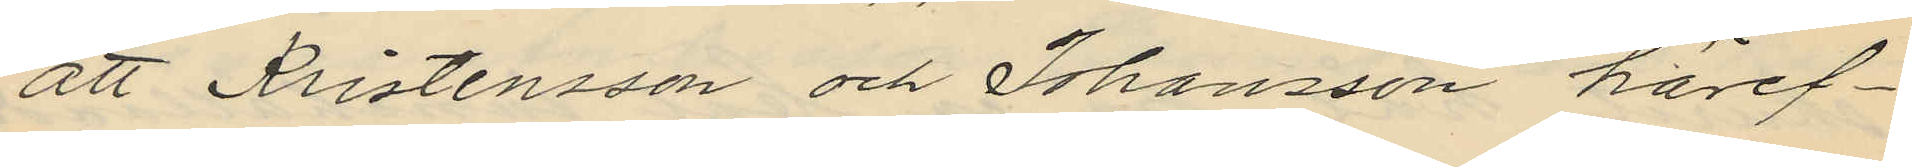att Kristensson och Johansson häref¬
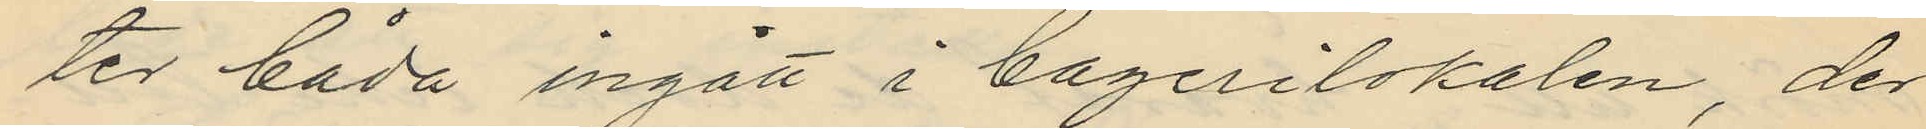ter båda ingått i bagerilokalen, der
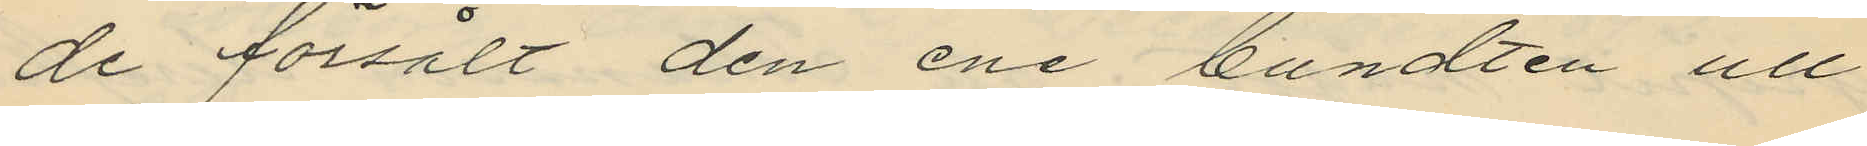de försålt den ene bundten ull
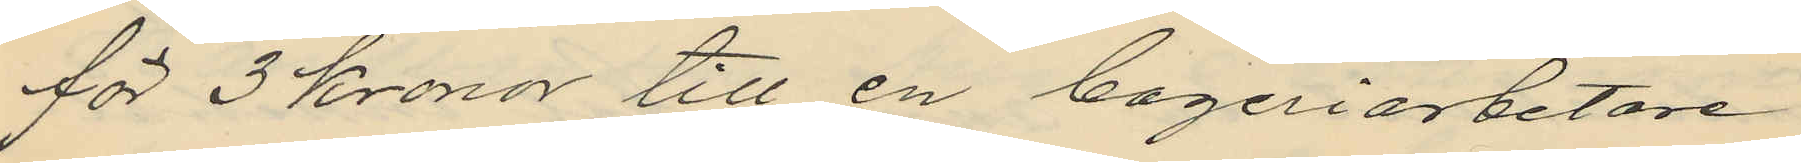för 3 Kronor till en bageriarbetare
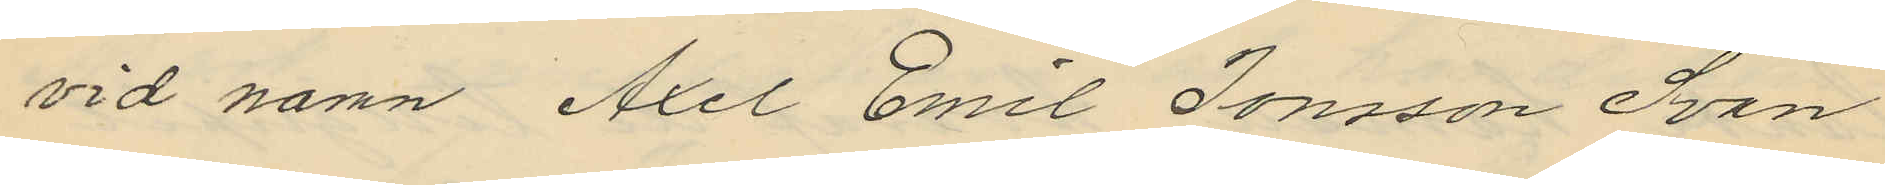vid namn Axel Emil Jonsson Svan
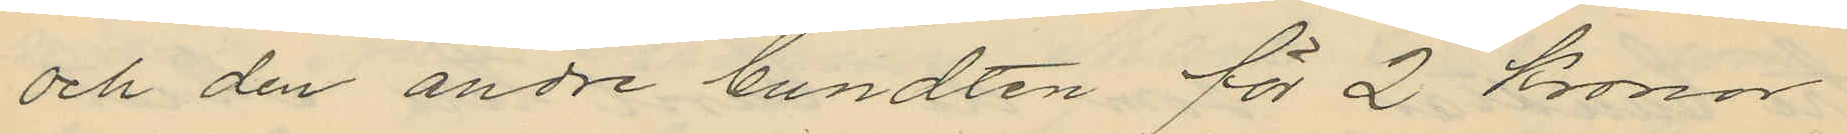och den andre bundten för 2 Kronor
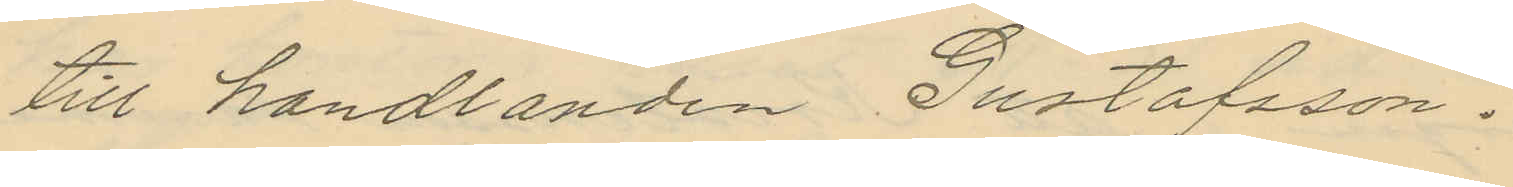till handlanden Gustafsson.
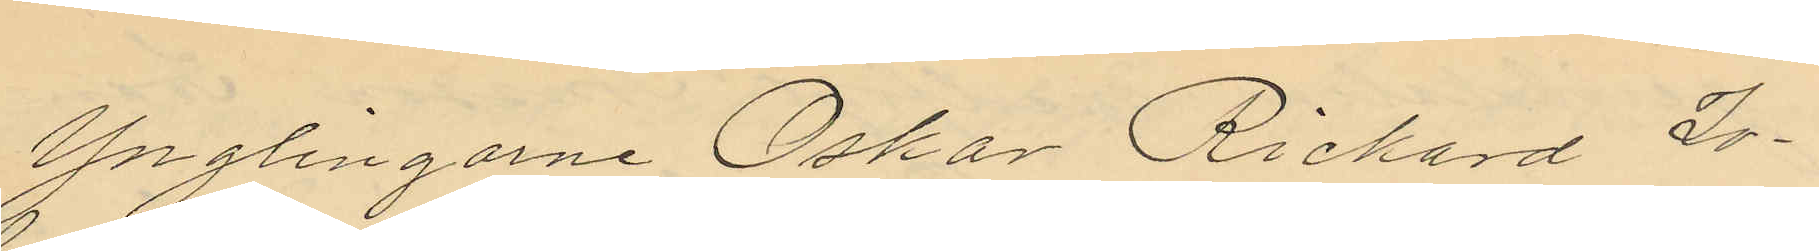Ynglingarne Oskar Richard Jo¬
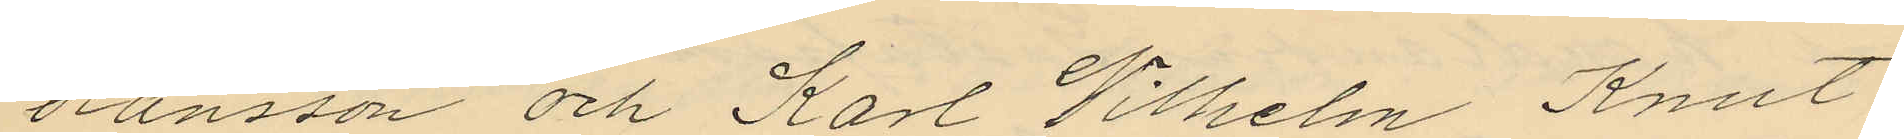hansson och Karl Vilhelm Knut
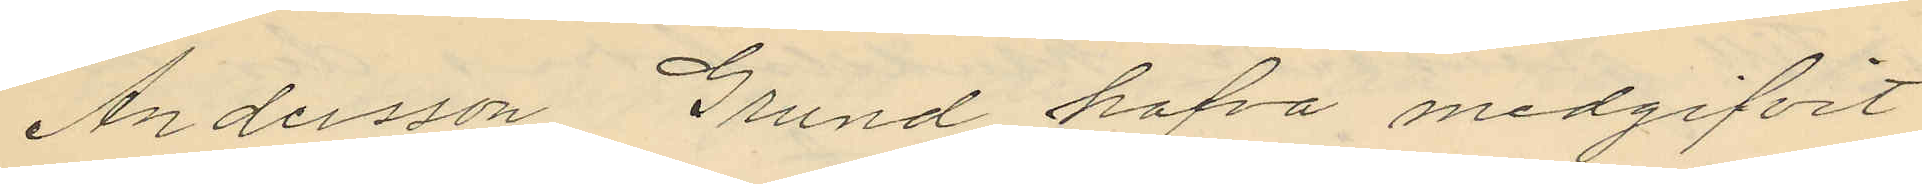Andersson Grund hafva medgifvit
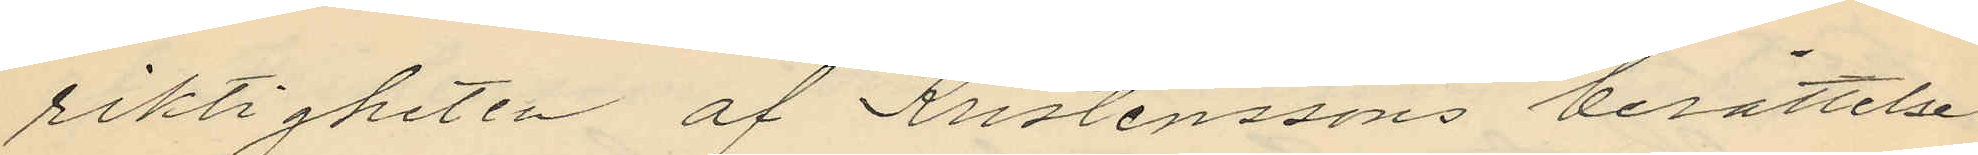riktigheten af Kristenssons berättelse
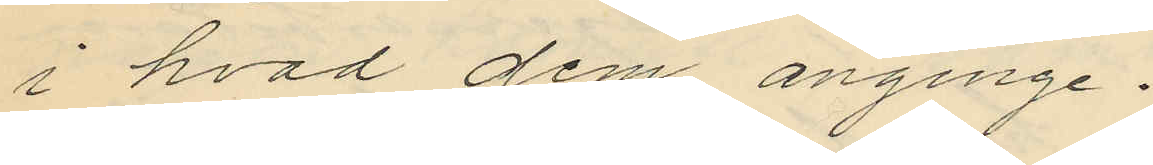i hvad dem anginge.
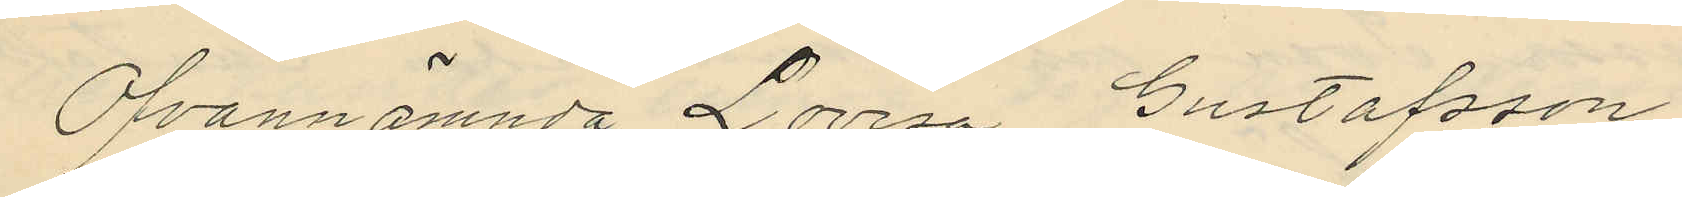Ofvannämnda Lovisa Gustafsson
